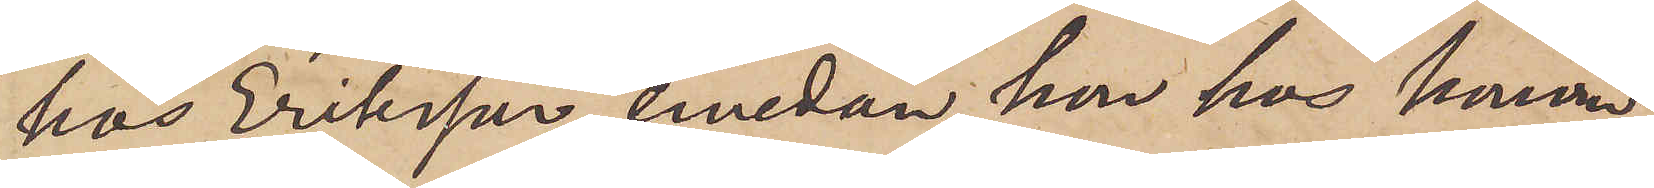hos Eriksson, emedan hon hos honom
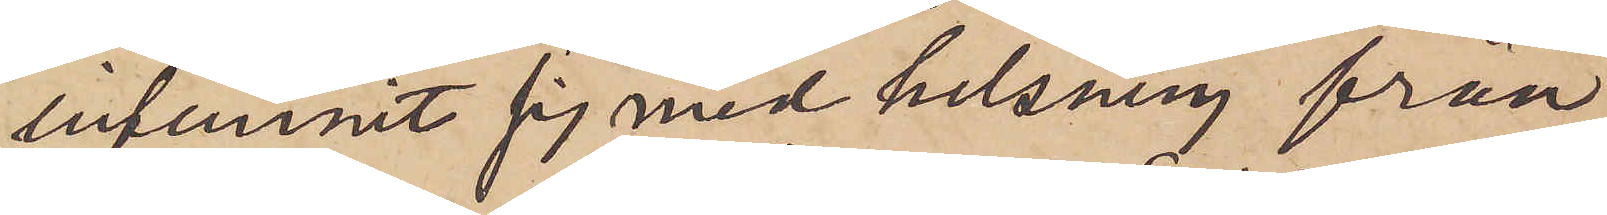infunnit sig med helsning från
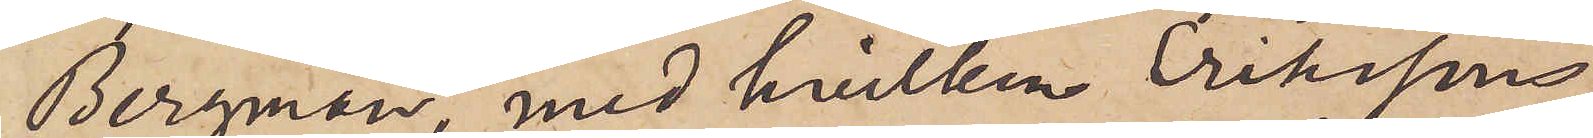Bergman, med hvilken Erikssons
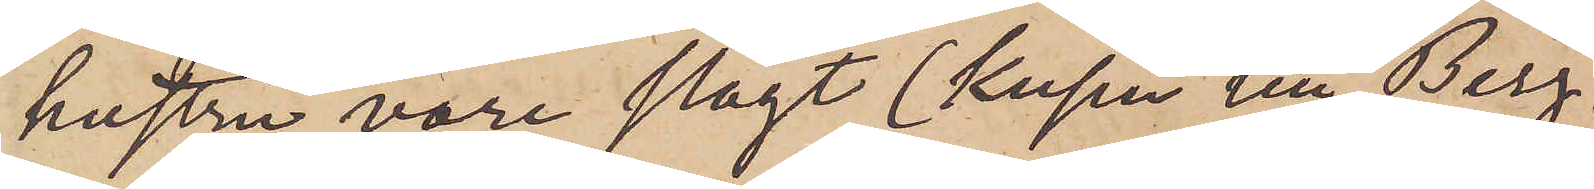hustru vore slägt (kusin till Berg¬
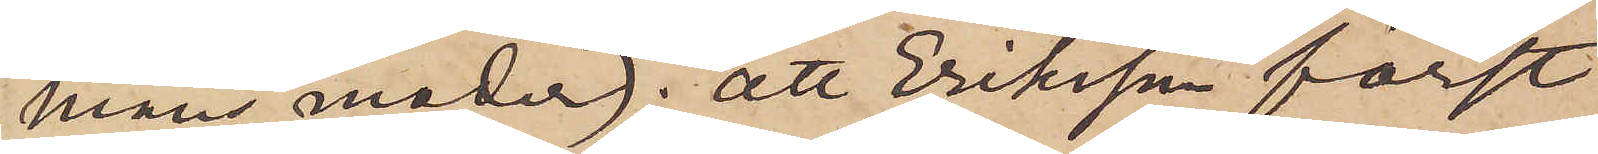mans moder); att Eriksson först
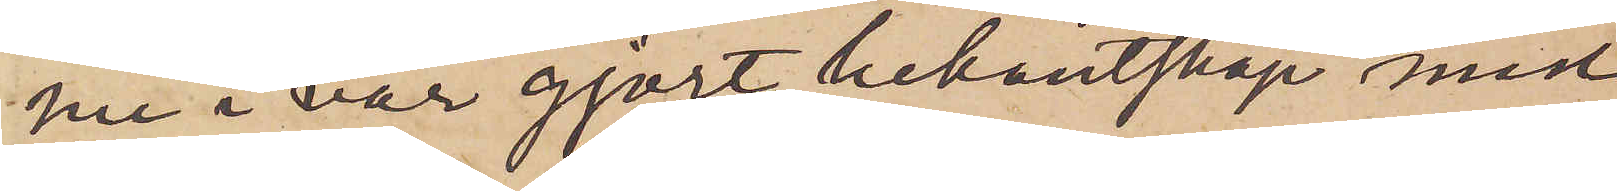nu i vår gjort bekantskap med
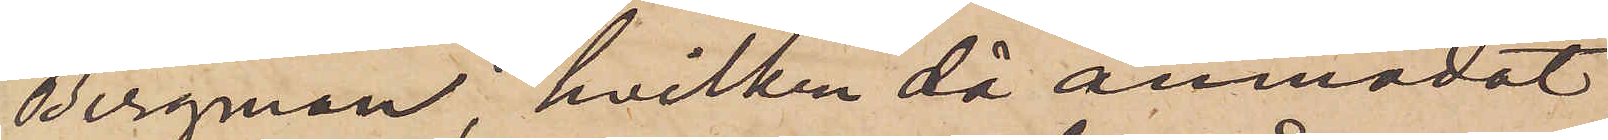Bergman, hvilken då anmodat
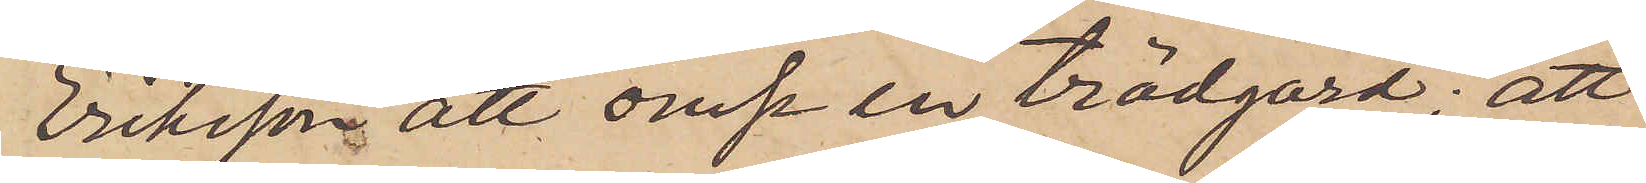Eriksson att ansa en trädgård; att
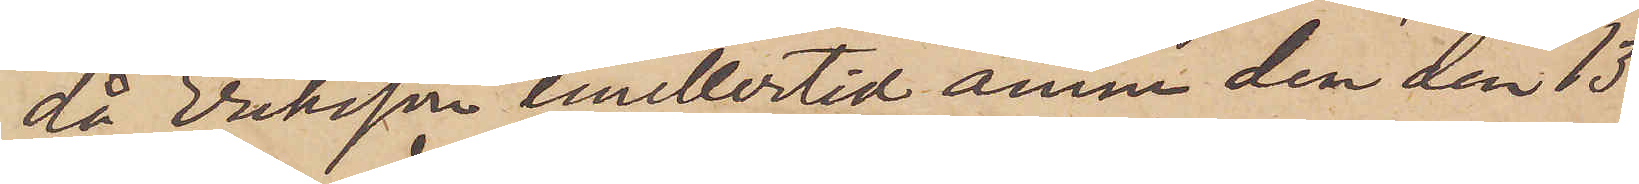då Eriksson emellertid ännu den den 13
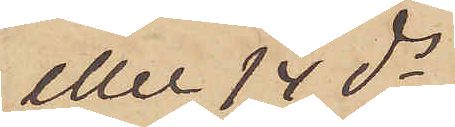eller 14 ds
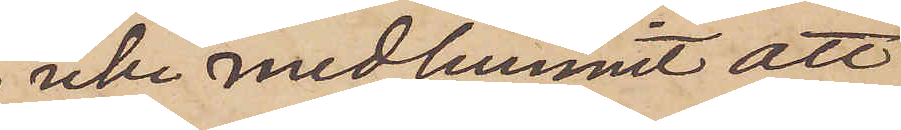icke medhunnit att
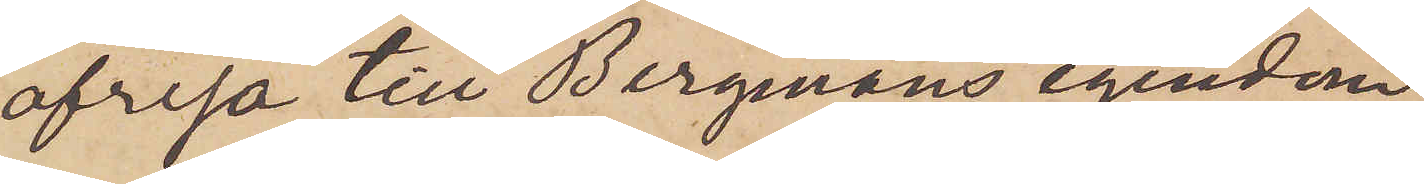afresa till Bergmans egendom,
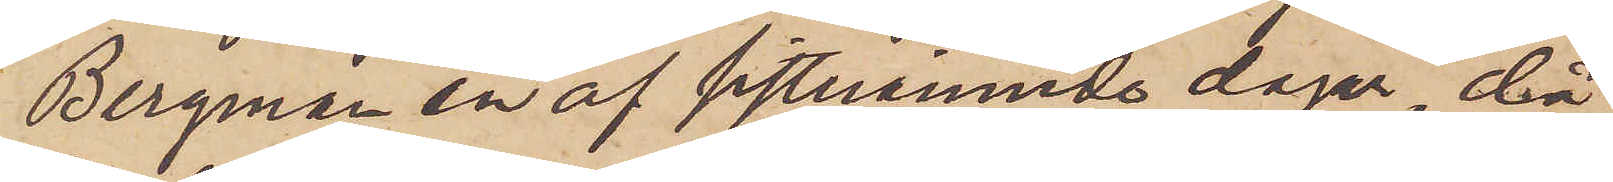Bergman en af sistnämnde dagar, då
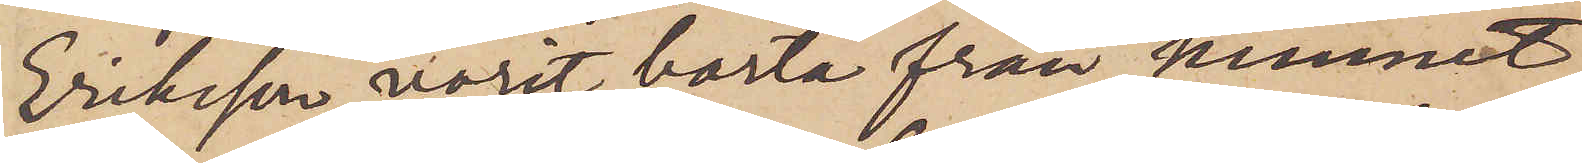Eriksson varit borta från hemmet,
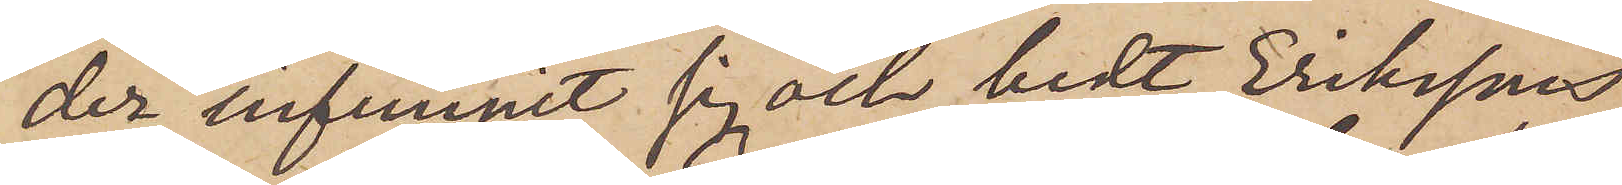der infunnit sig och bedt Erikssons
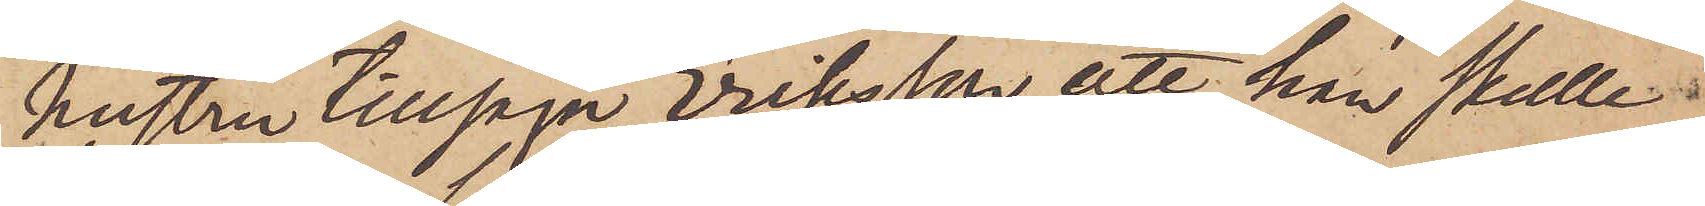hustru tillsäga Eriksson att han skulle
